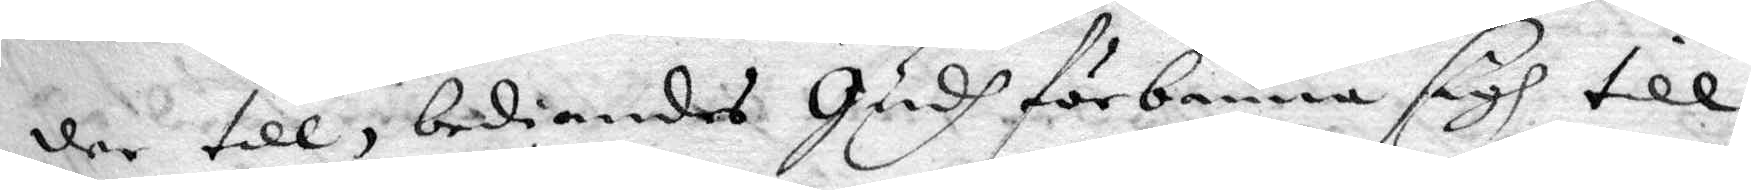der till, bediandes Gudh förbanna sigh till
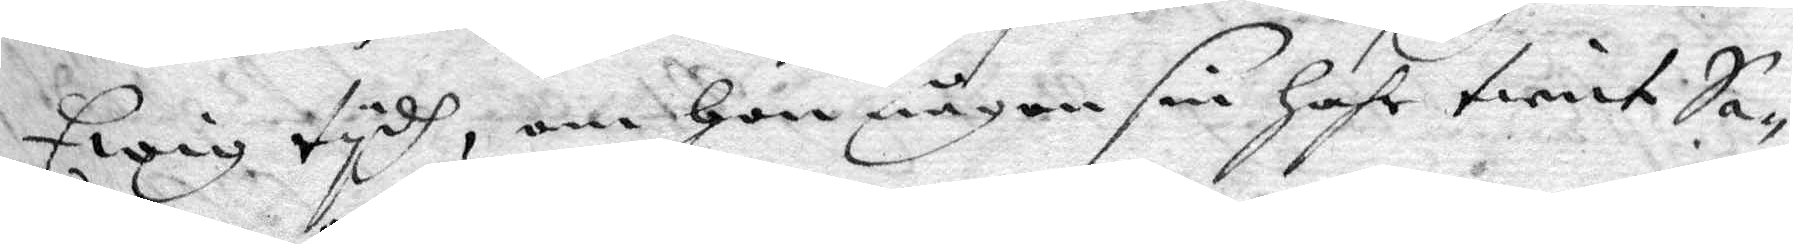Ewig tydh, om hon någon sin hafr tient Sa¬
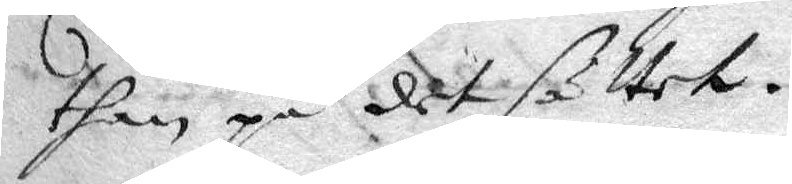than på det sättet.
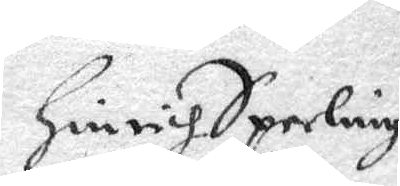Hindrich Sperling
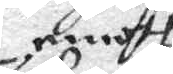emoth
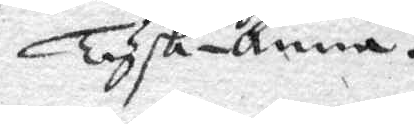Tysk-Anna
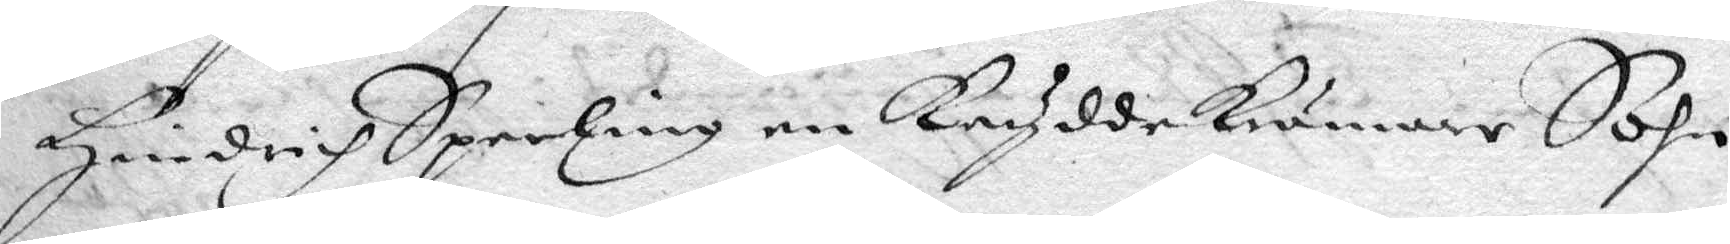Hindrich Sperling en KryddeKrämare Sohn
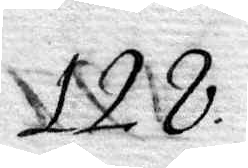128.
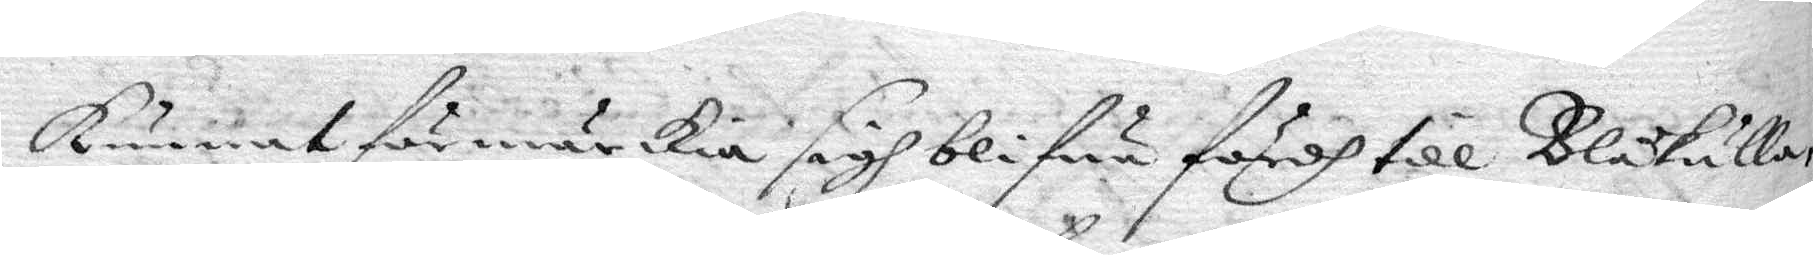kunnat förmärka sigh blifwa fördh till Blåkulla
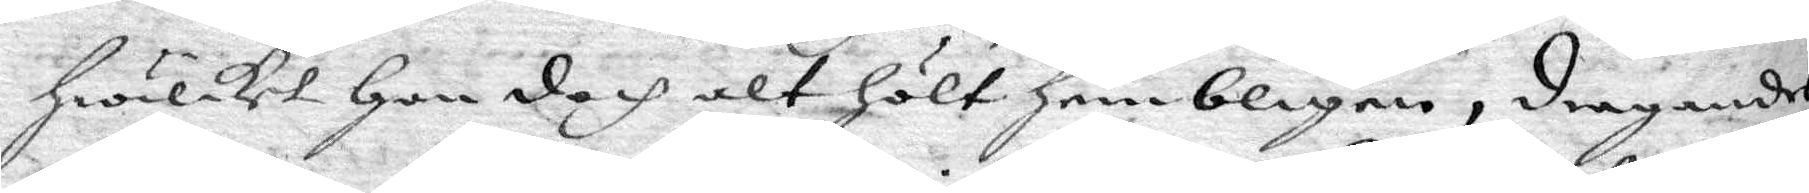hwilket han doch alt hölt hembligen, dragandes
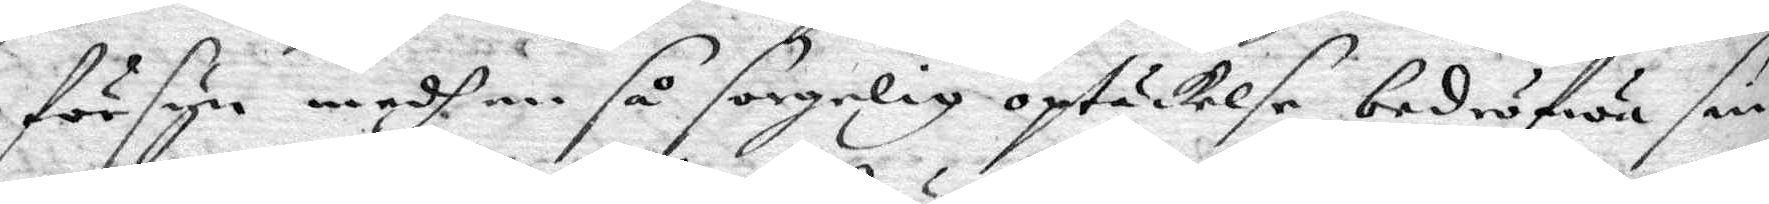försyn medh en så sorgelig optäckelse bedröfwa sin
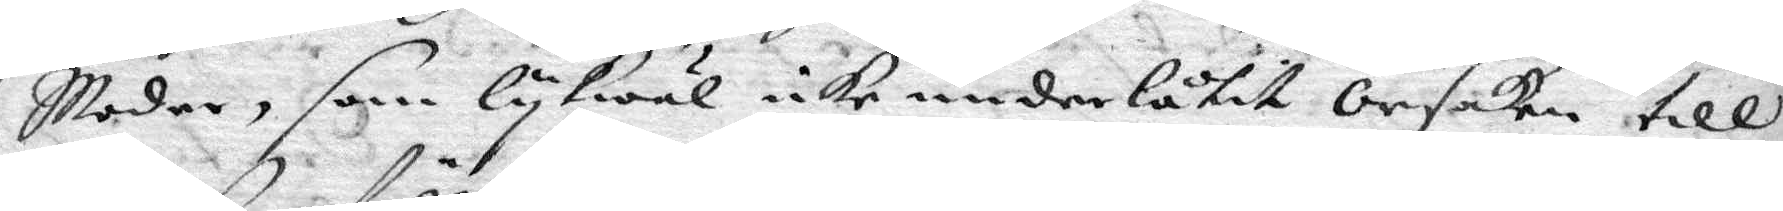Moder, som lykwäl icke underlåtit orsaken till
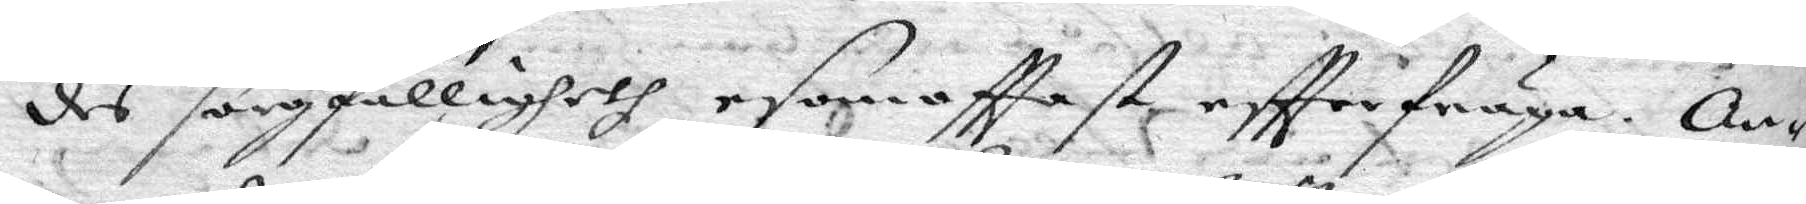des sorgfälligheth esom ofttast eftter fråga. An¬
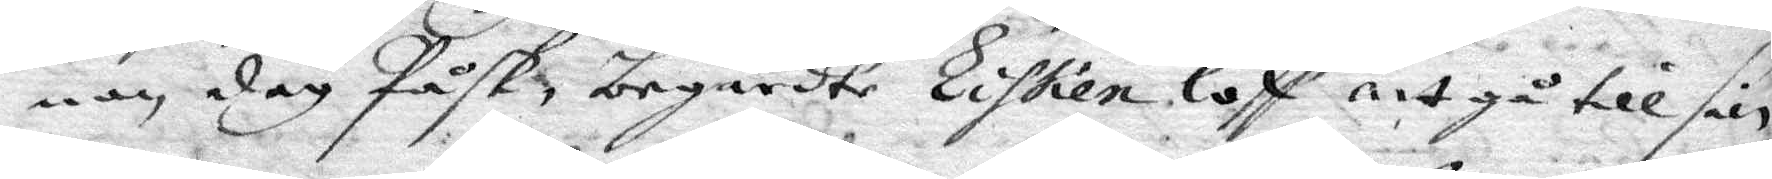nan dag Påsk, begärdte Lisken loff att gå till sin
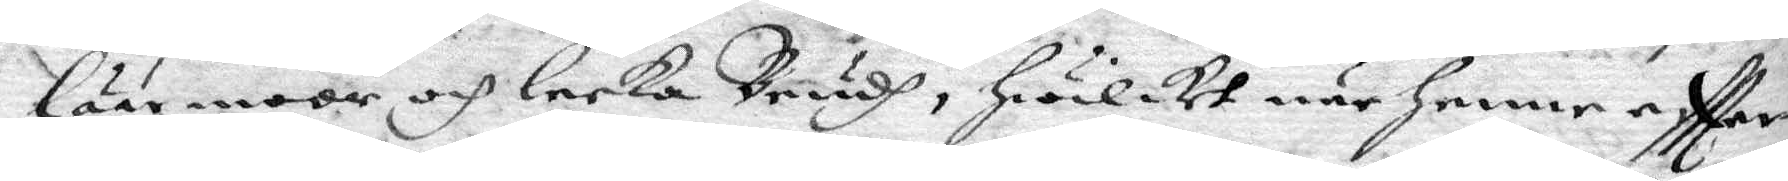läremoor och lecka Brudh, hwilket när henne eftter¬
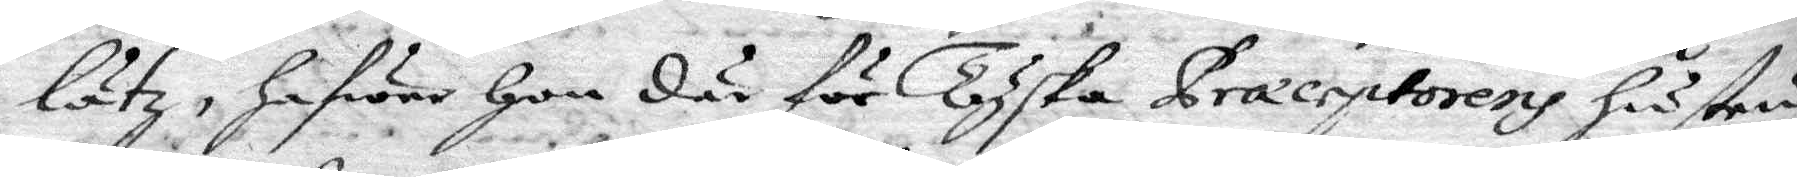lätz, hafwer hon där för Tyska Præceptorens hustru
